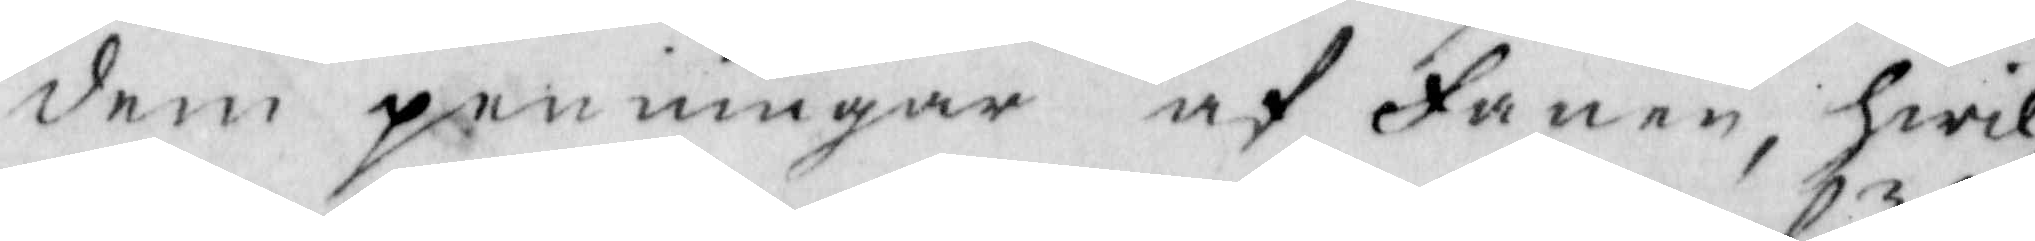dem penningar af Fanen, Hwil¬
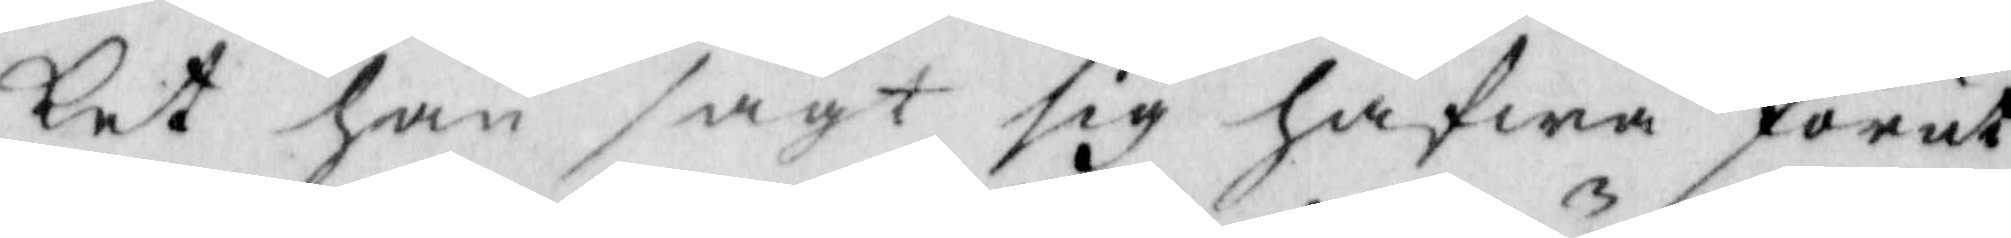ket han sagt sig hafwa förut
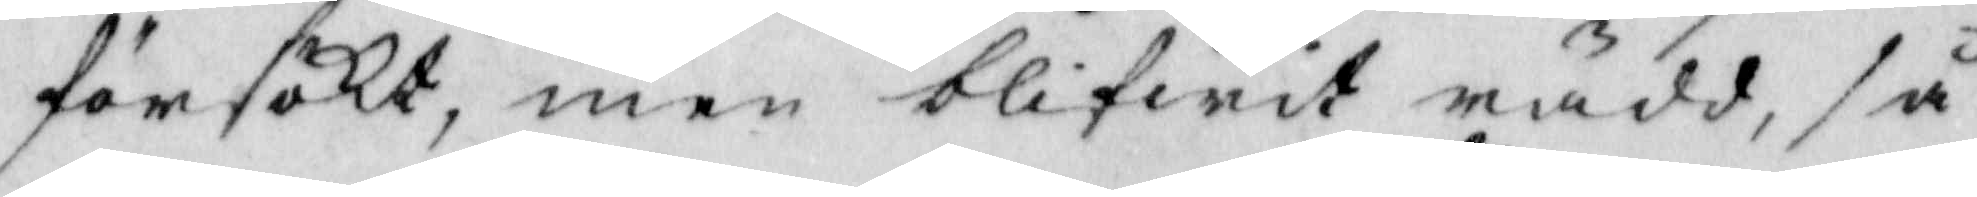försökt, men blifwit rädd, så
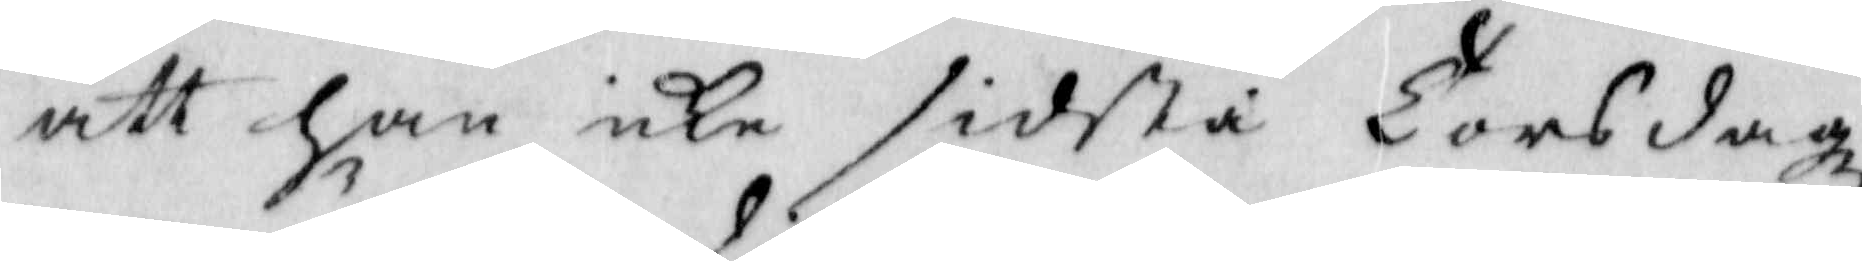att han icke sidsta Torsdagz¬
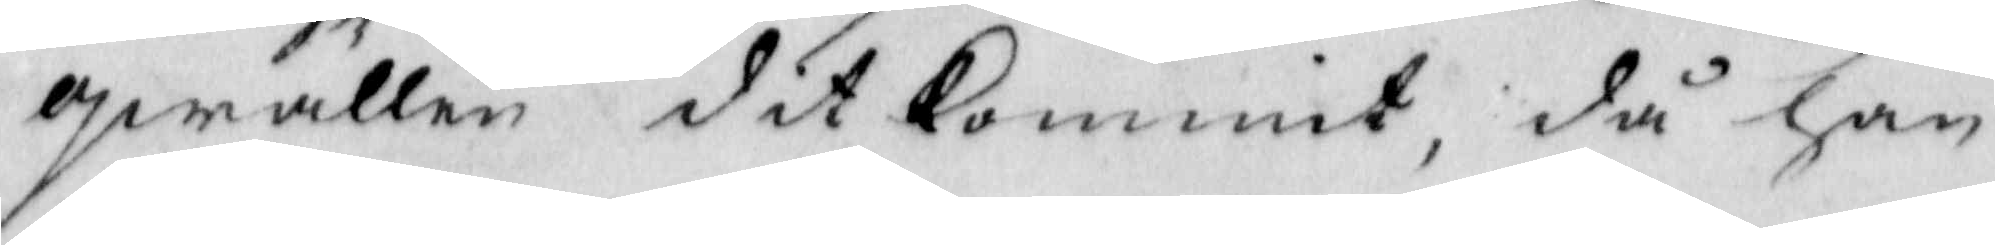qwällen ditkommit, då han
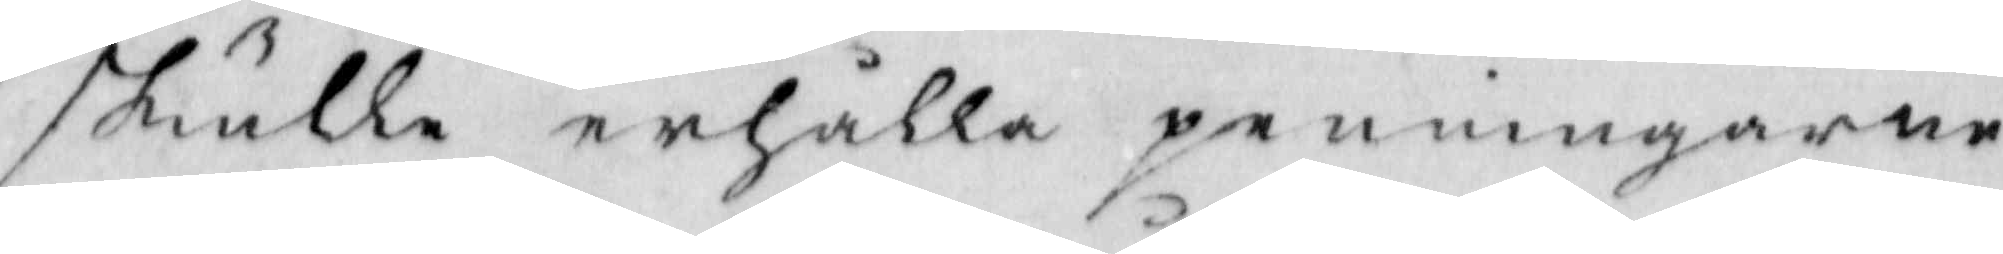skulle erhålla penningarne
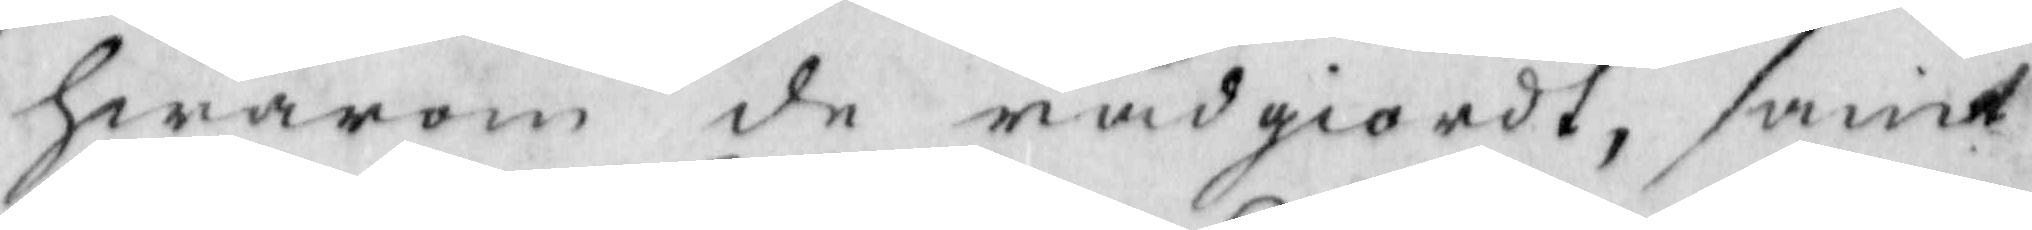hwarom de rådgiordt, samt
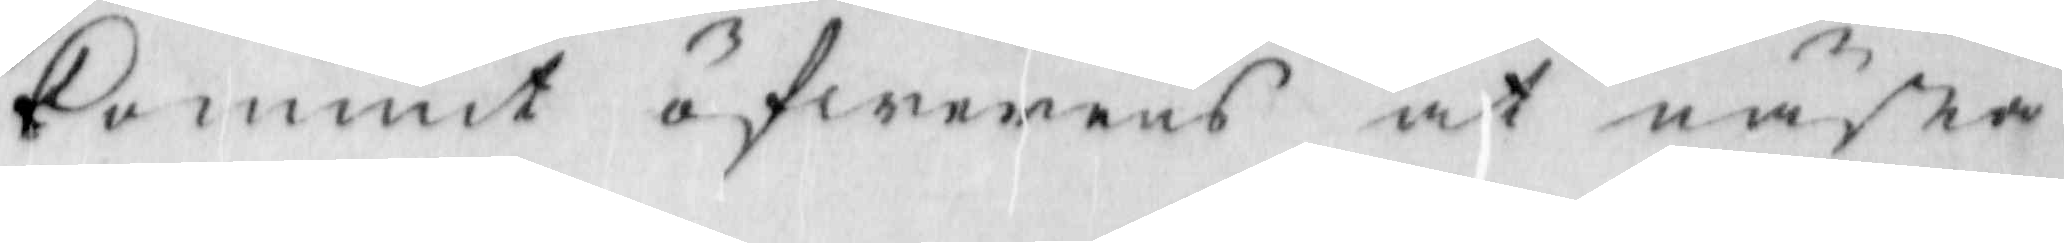kommit öfwerens at nästa
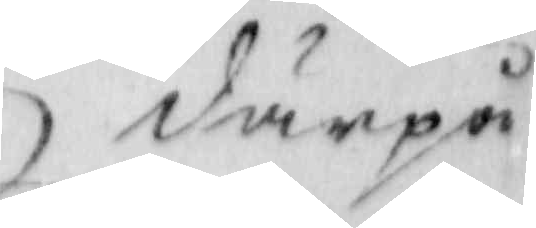därpå
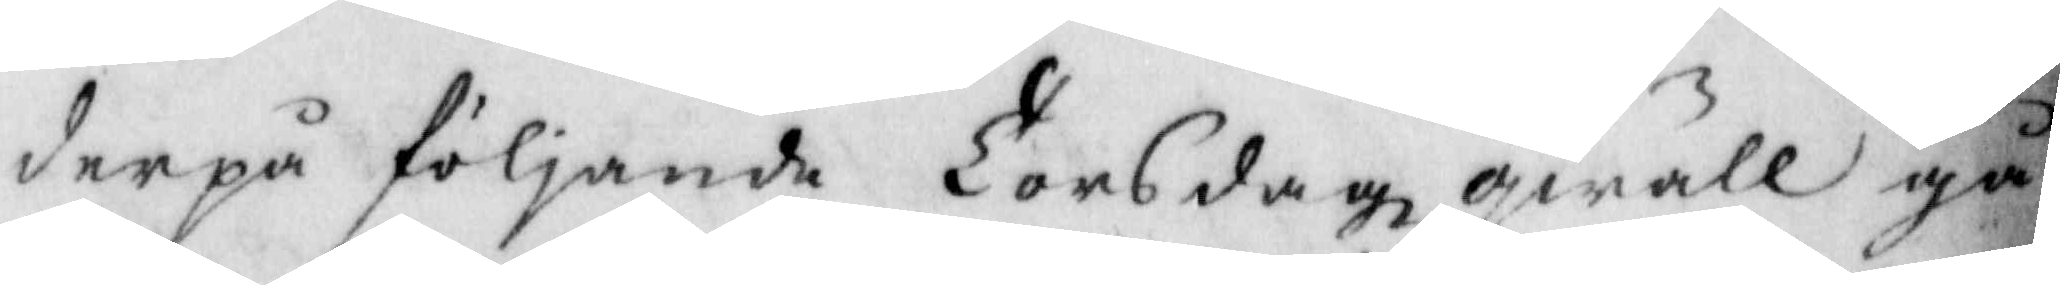derpå följande Torsdagzqwäll gå
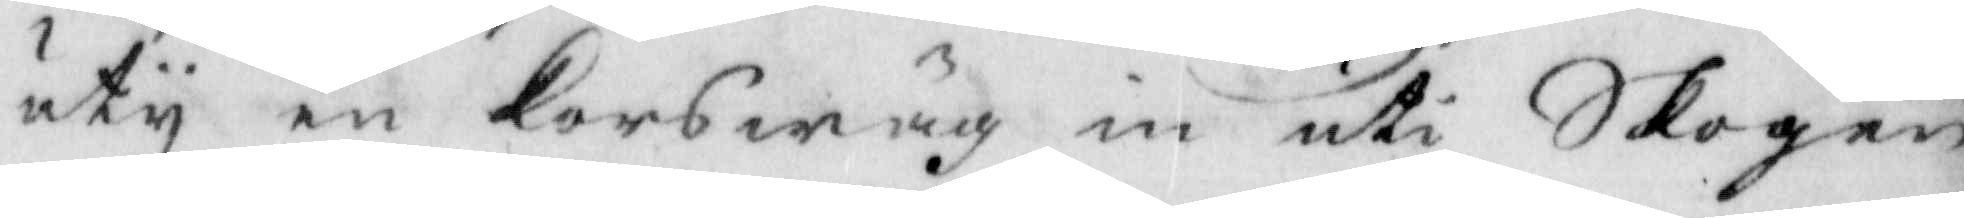uty en Korswäg in uti Skogen
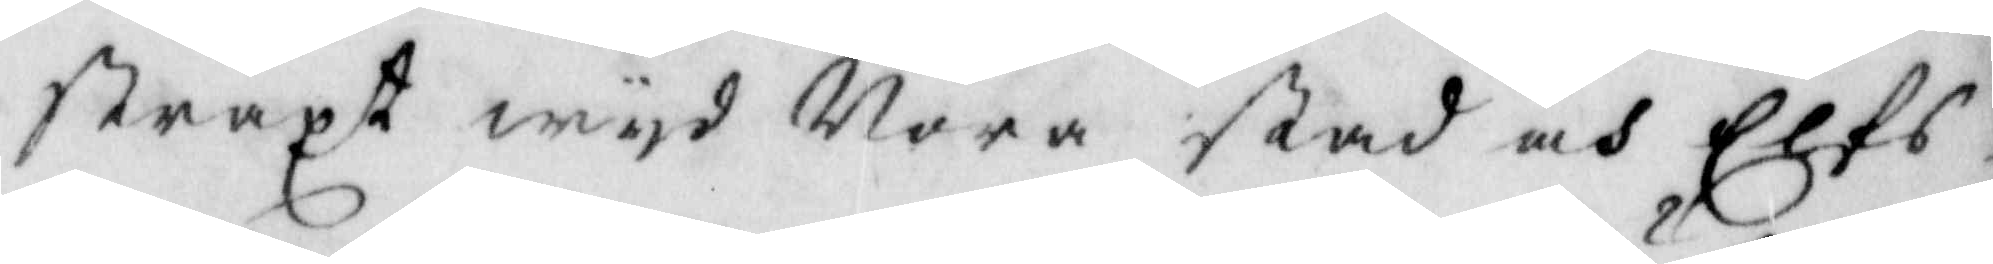straxt wyd Nora stad och Elfs¬
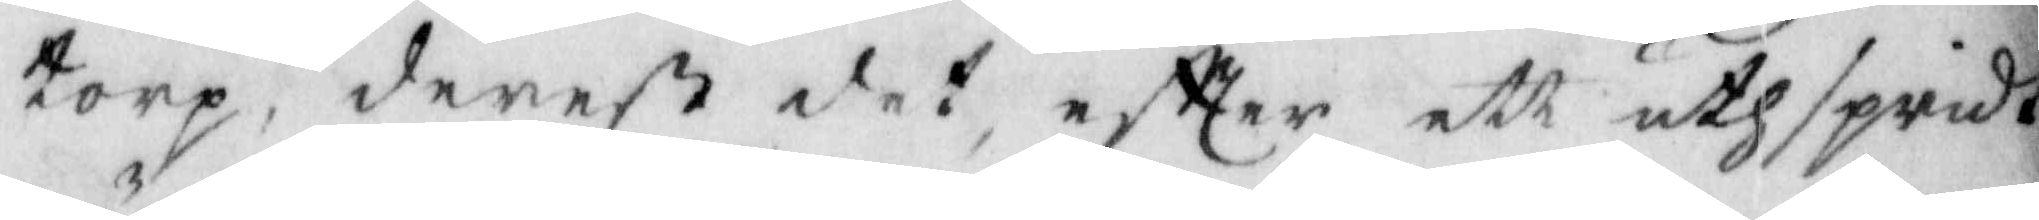torp, derest det, eftter ett uthspridt
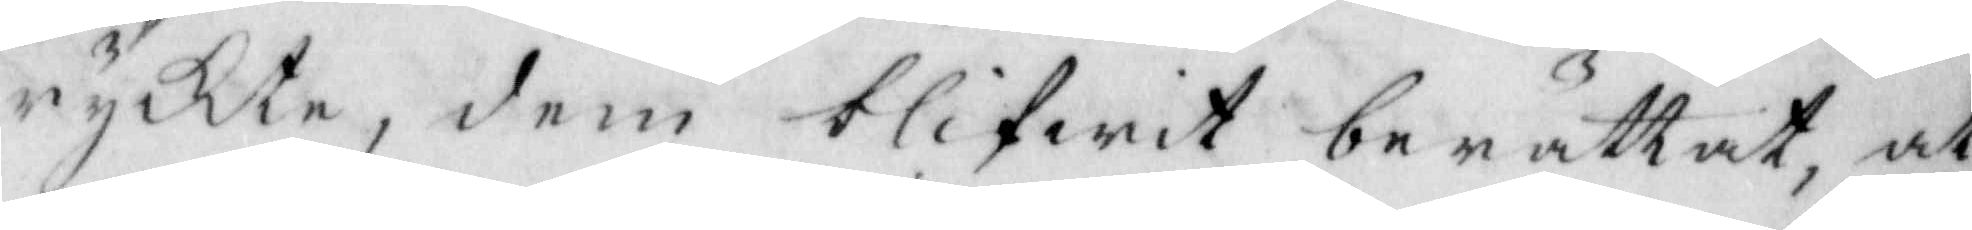ryckte, dem blifwit berättat, at
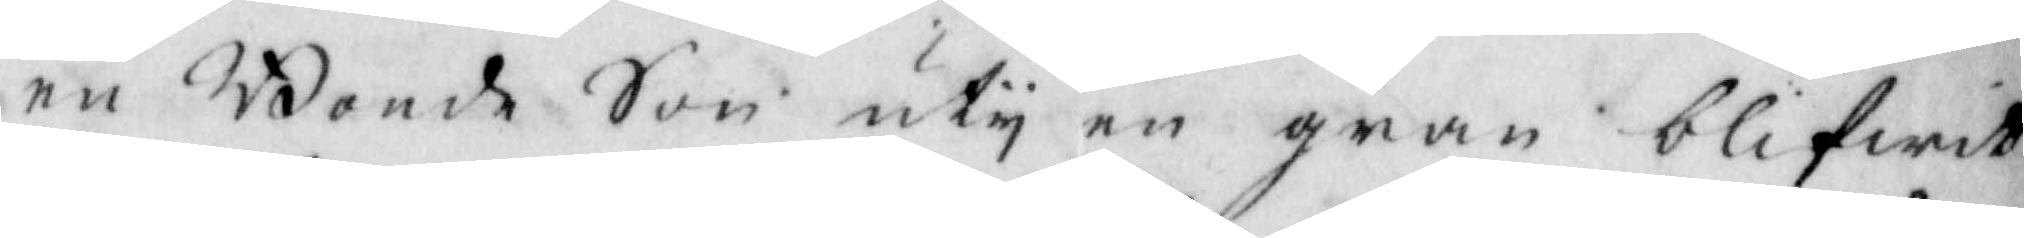en Bonde Son uty en gran blifwit
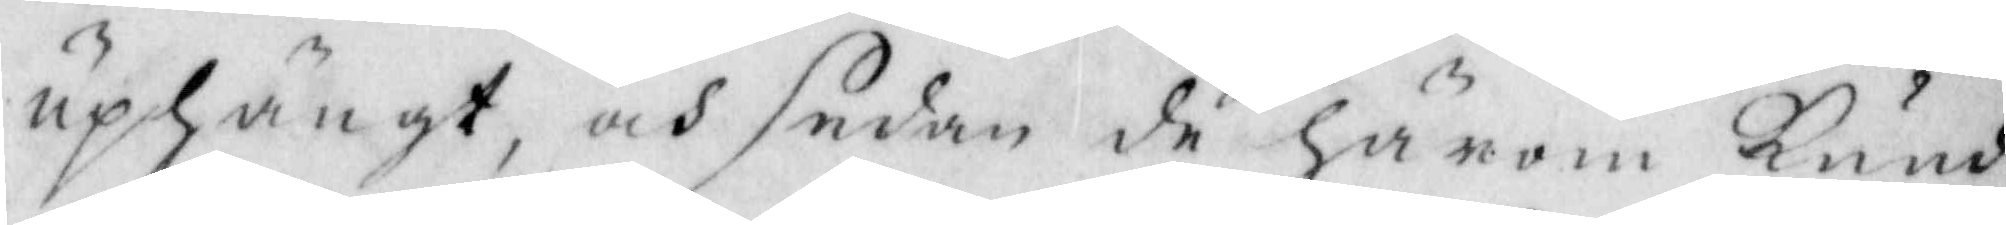uphängt, och sedan de Härom kund¬
